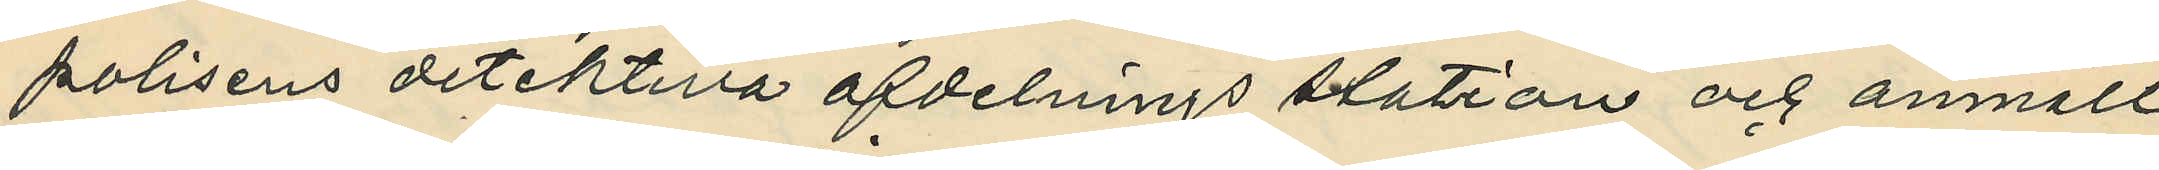polisens detektiva afdelnings station och anmält
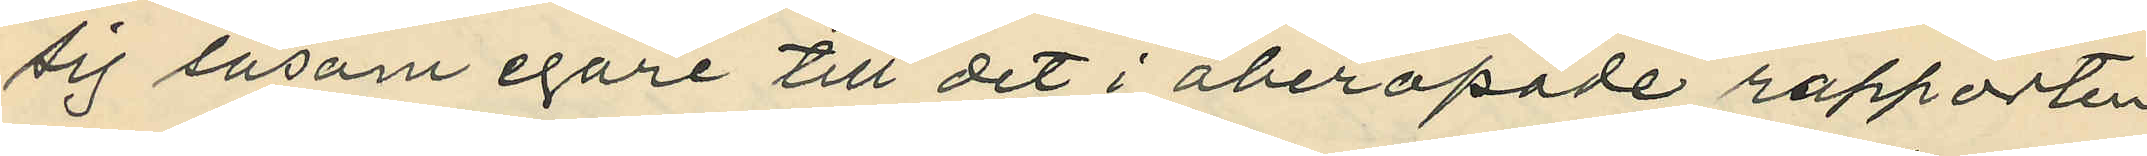sig såsom egare till det i åberopade rapporten
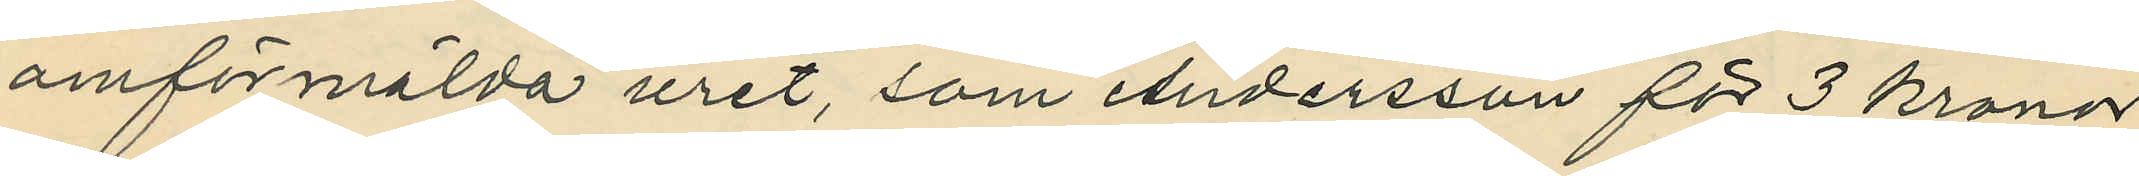omförmälda uret, som Andersson för 3 kronor
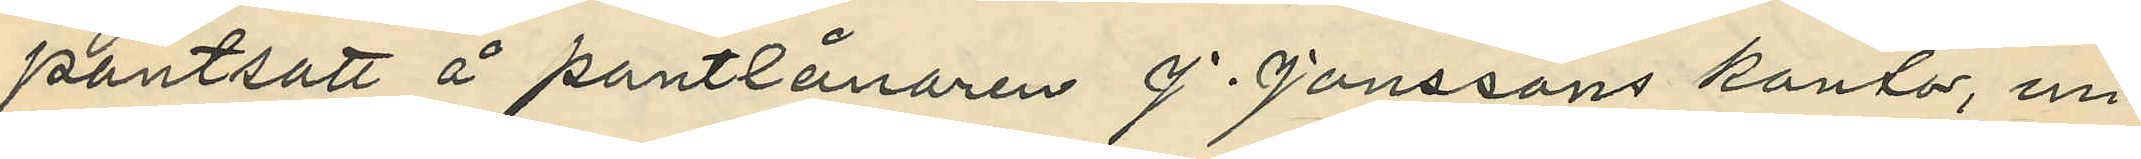pantsatt å pantlånaren J. Jonssons kontor, un¬
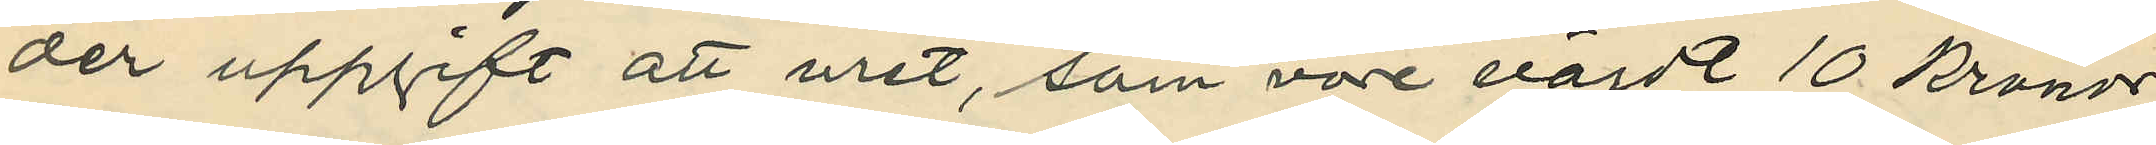der uppgift att uret, som vore värdt 10 kronor,
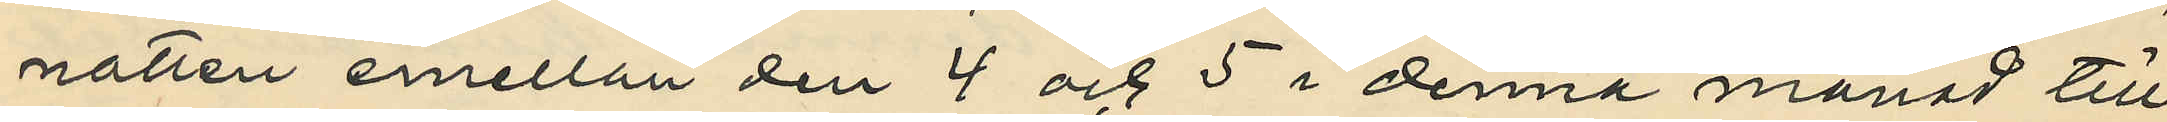natten emellan den 4 och 5 i denna månad till¬
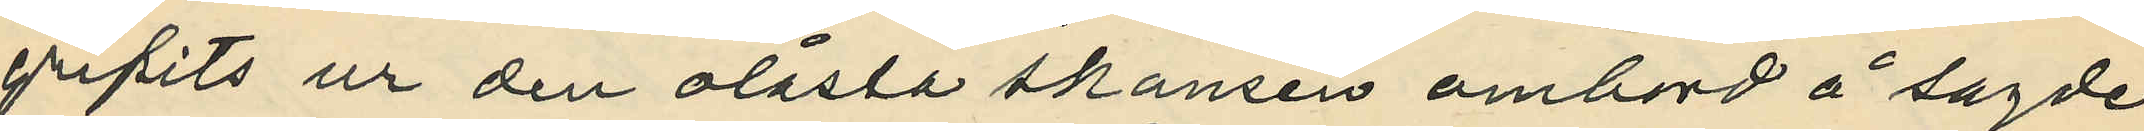gripits ur den olåsta skansen ombord å sagde
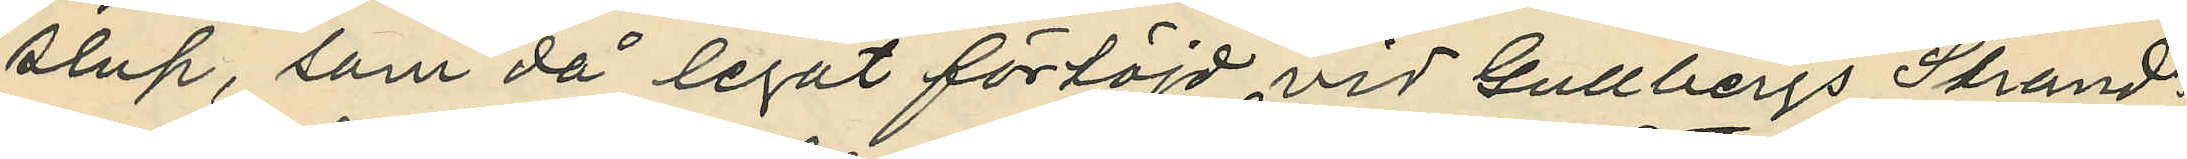slup, som då legat förtöjd vid Gullbergs Strand¬
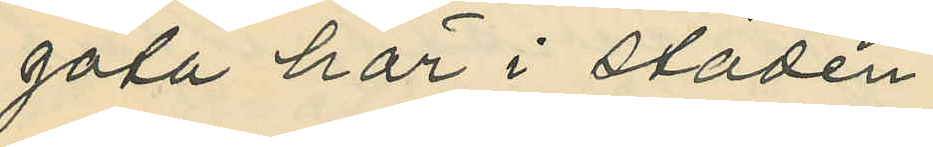gata här i staden.
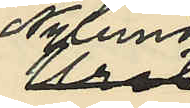Nylund
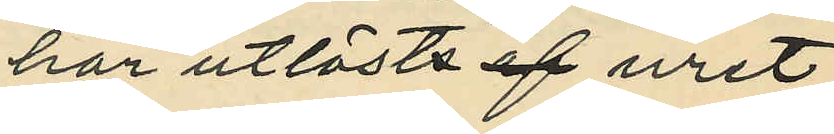har utlösts af uret.
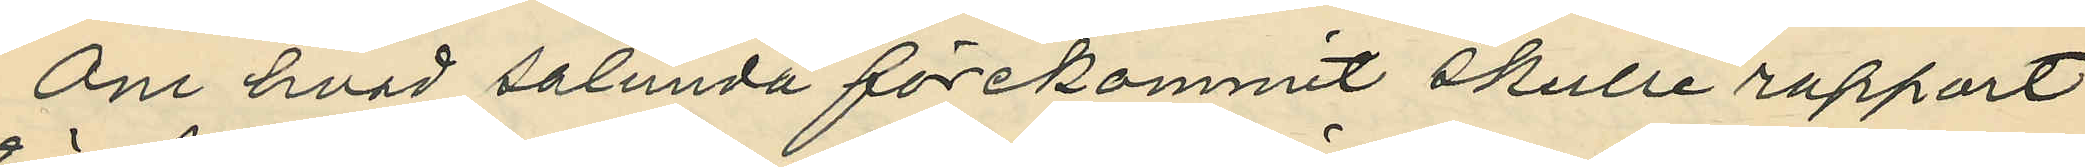Om hvad salunda förekommit skulle rapport
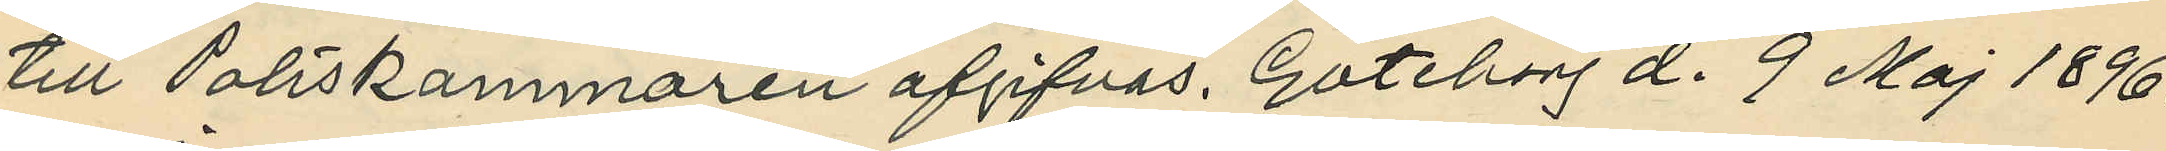till Poliskammaren afgifvas. Göteborg d. 9 Maj 1896.
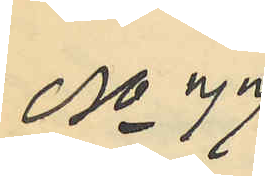No 77
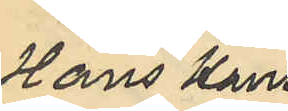Hans Hans¬
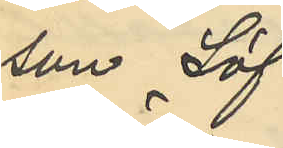son Löf¬
